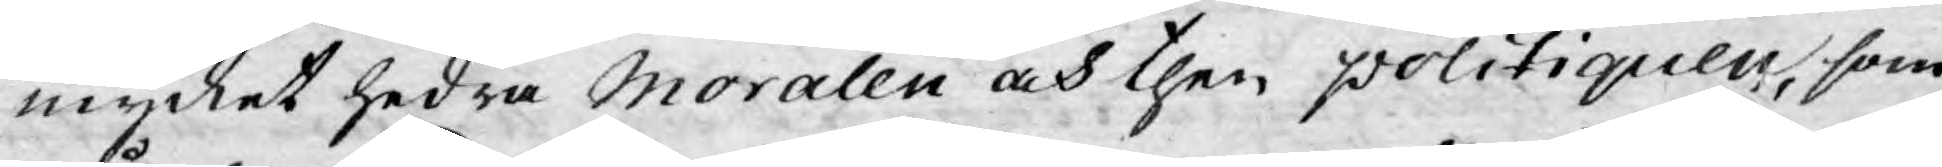mycket hedra Moralen och then politiquen, som
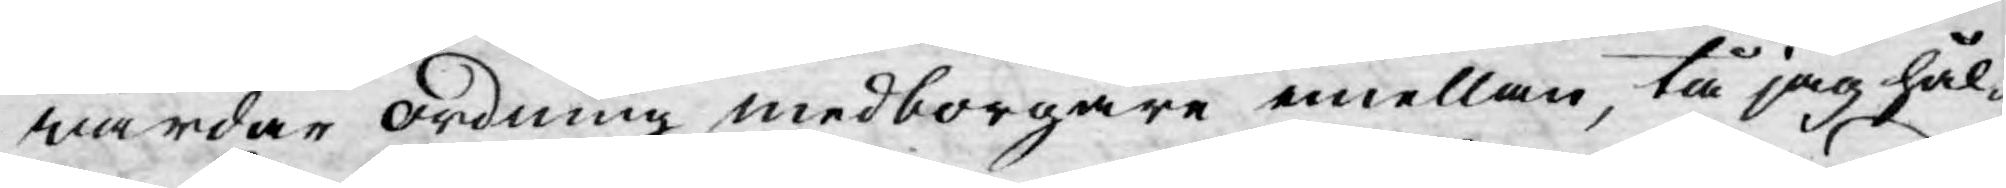wårdar ordning medborgare emellan, tå jag hål¬
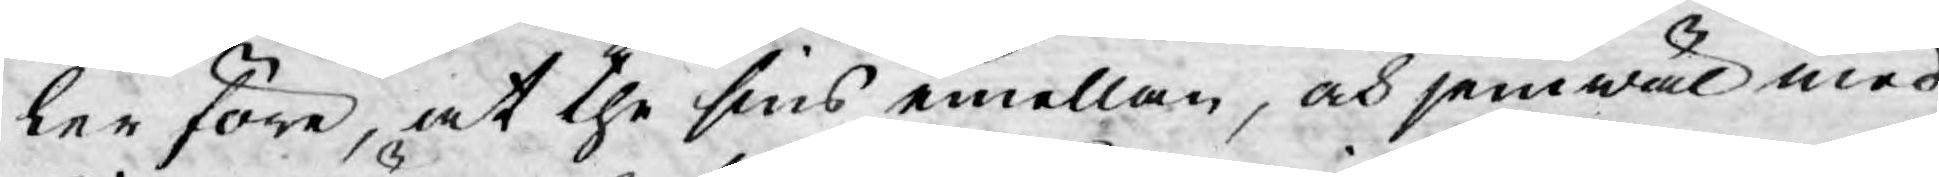ler före, at the sins emellan, och jemwäl med
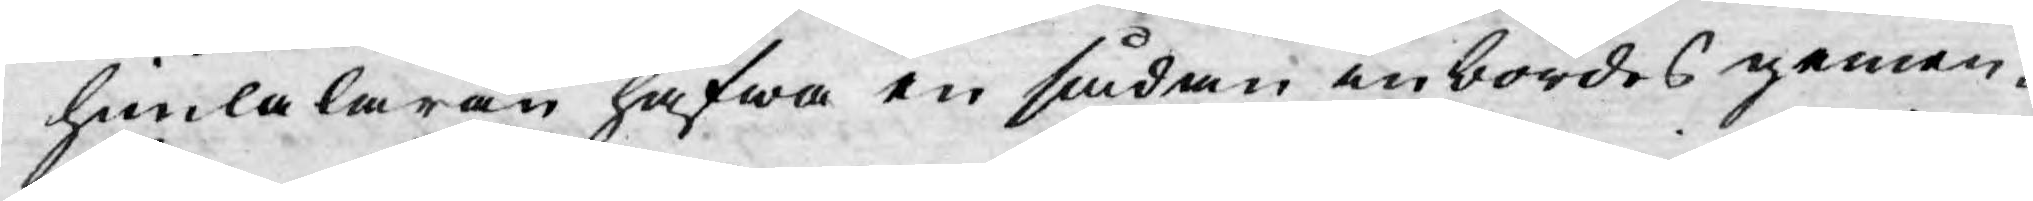himlaläran hafwa en sådan inbördes gemen¬
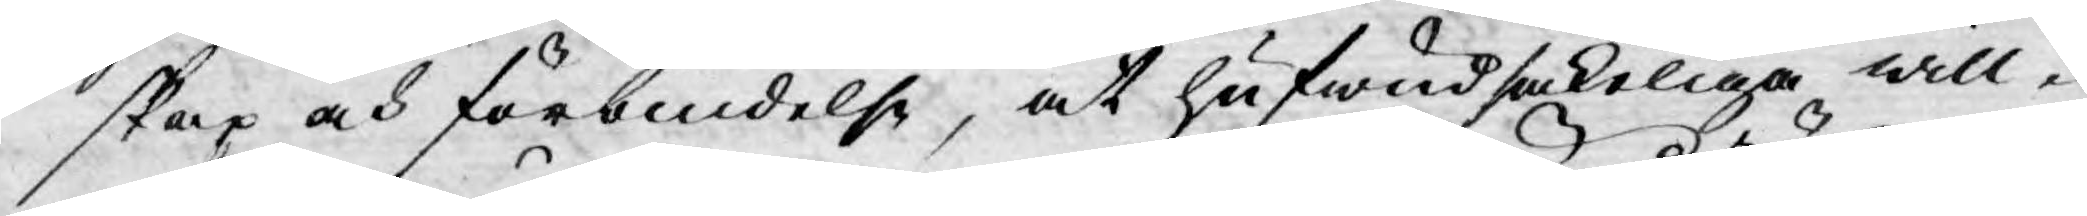skap och förbindelse, at hufwudsakeliga will¬
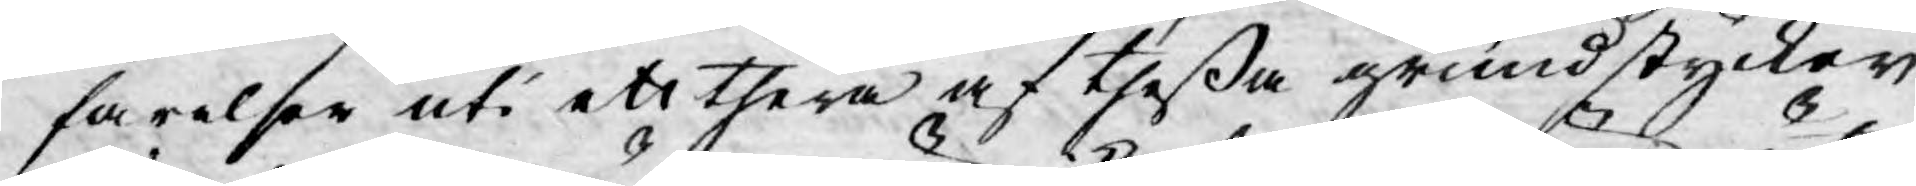farelser uti ett thera af theßa grundstycker
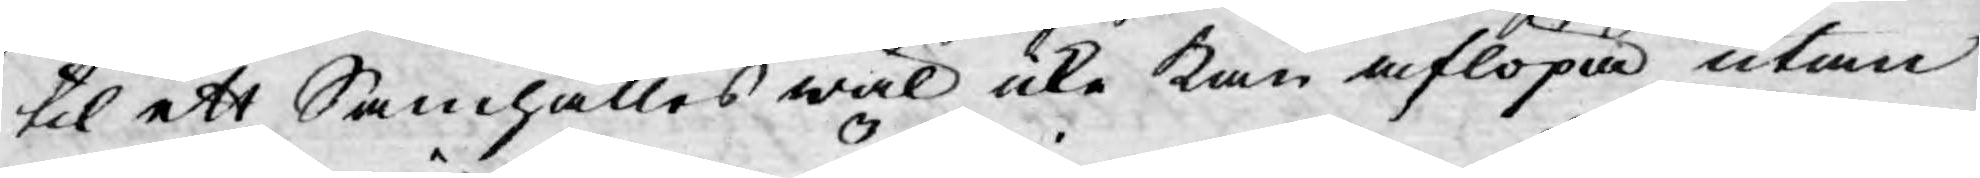til ett Samhälles wäl icke kan aflöpa utan
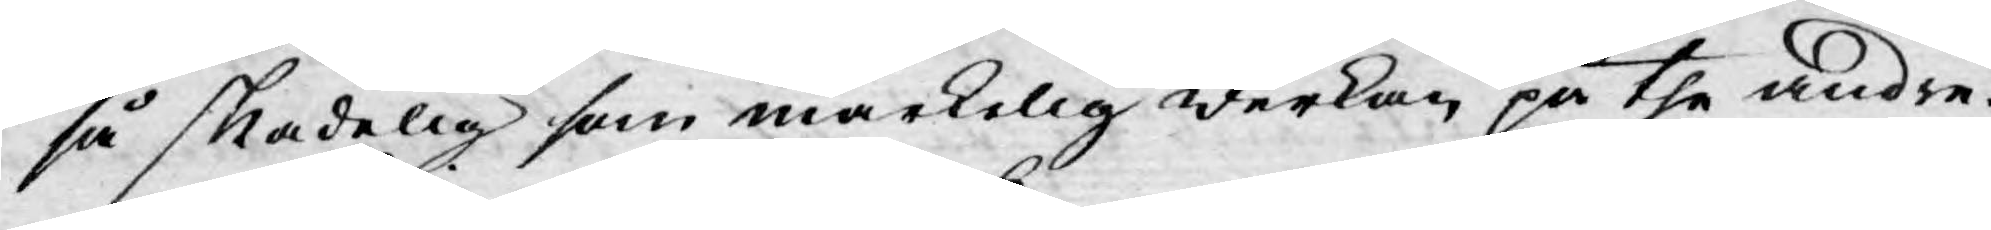så skadelig som märkelig werkan på the andre.
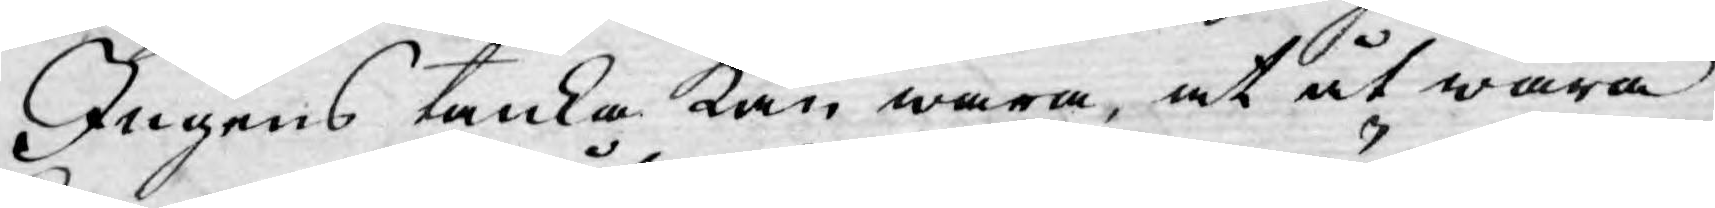Ingens tanka kan wara, at åt wåra
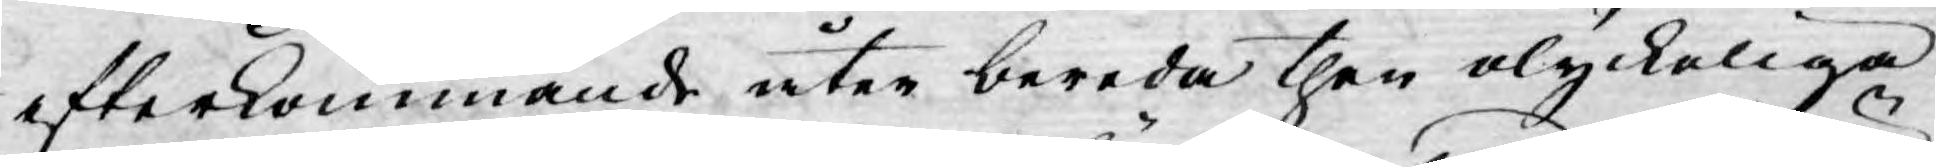efterkommande åter bereda then olyckeliga
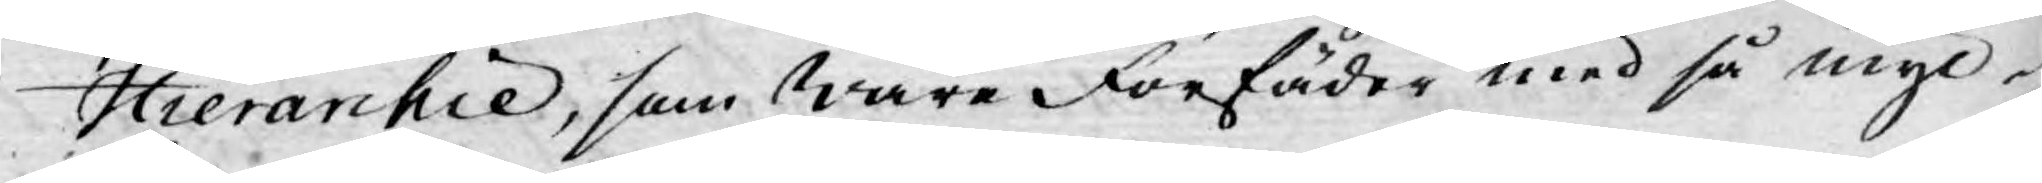Hierarchie, som wåre förfäder med så myc¬
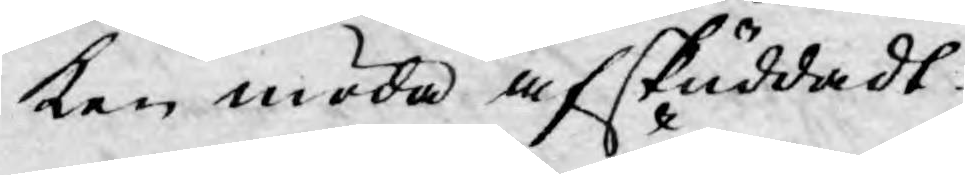ken möda afskuddadt.
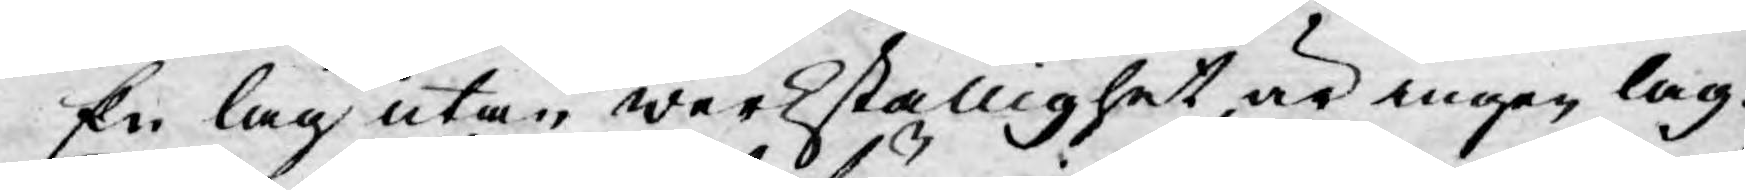En lag utan werkställighet, är ingen lag.
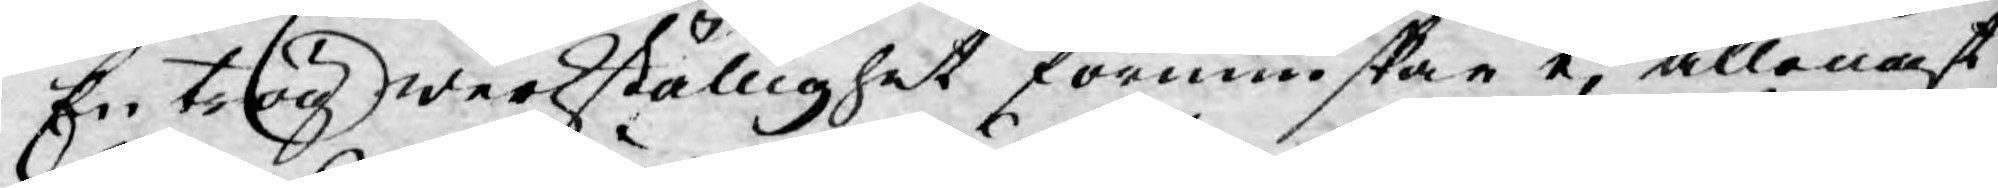En trög werkställighet förminskar ej allenast
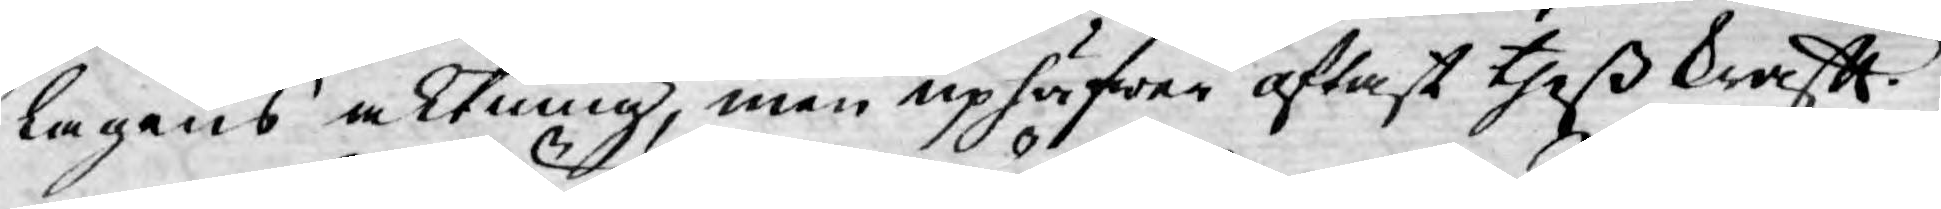lagens aktning, men uphäfwer oftast theß krafft.
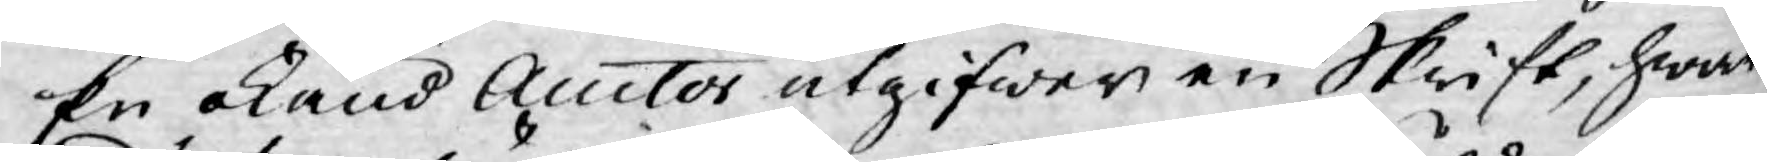En okänd Auctor utgifwer en Skrift, hwar¬
